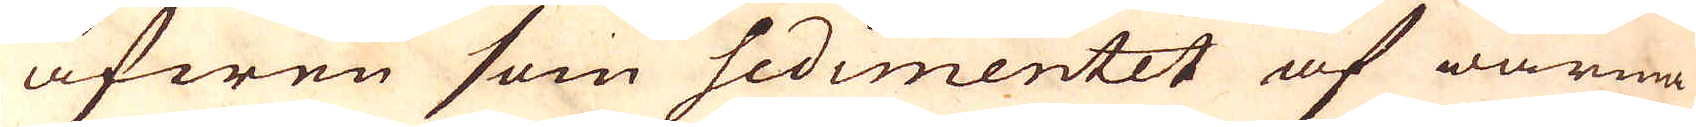äfwen som sedimentet af warma
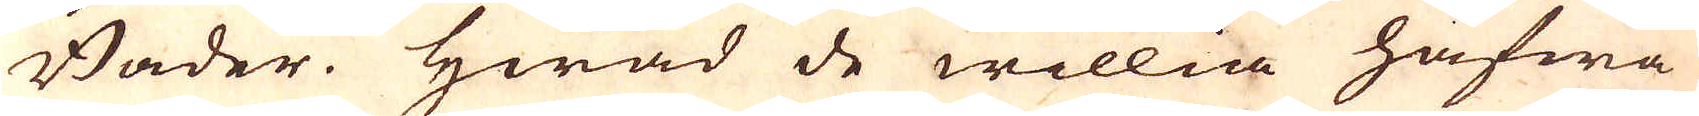Bader. Hwad de willia hafwa
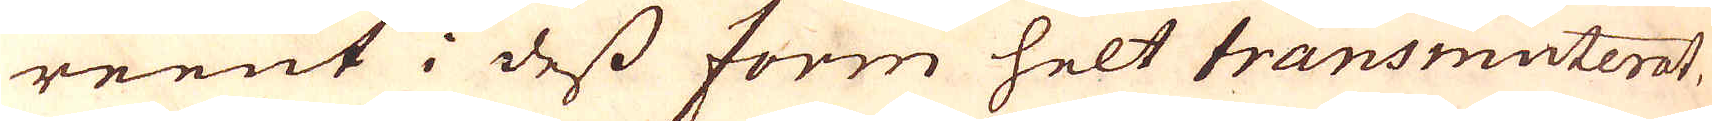reent i dess form helt transmuterat,
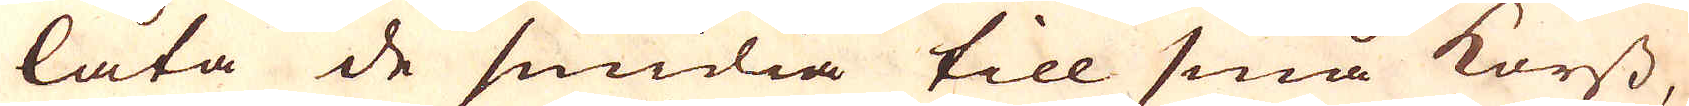låta de smidia till små korss,
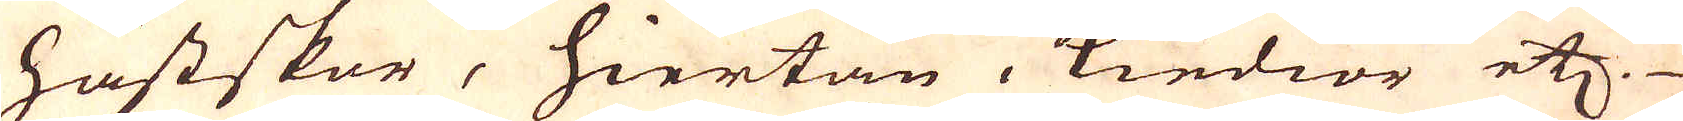hästskor, hiertan, Kiedior etc.
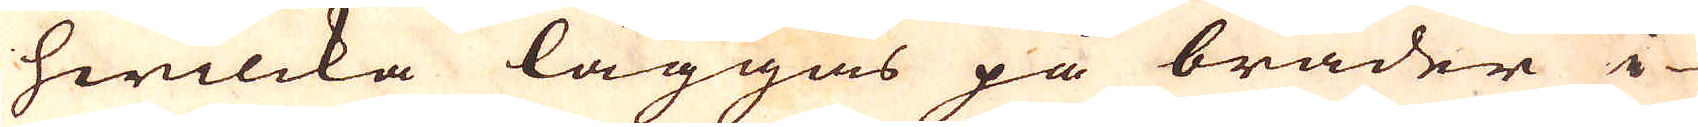hwilcka läggas på bräder i
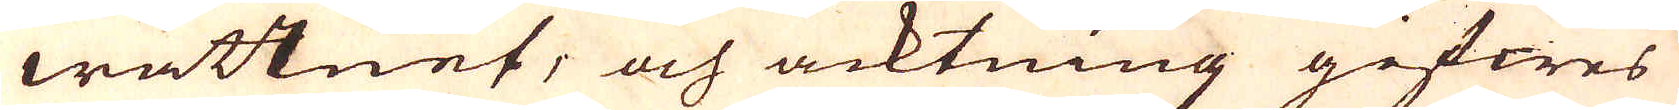wattnet, och acktning gifwes
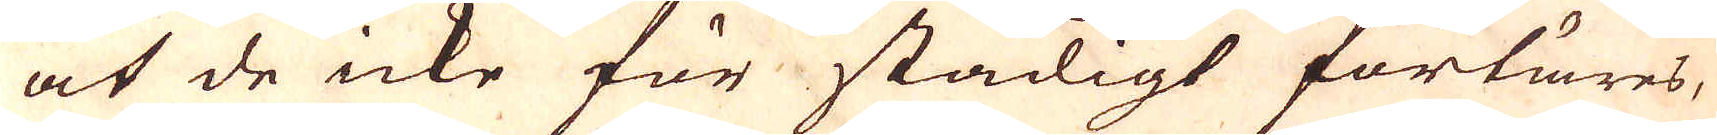at de icke för stadigt förtäres,
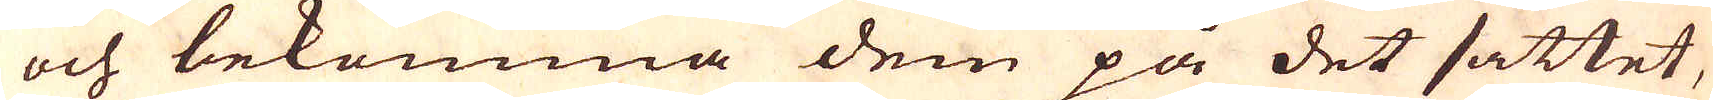och bekomma dem på det sättet,
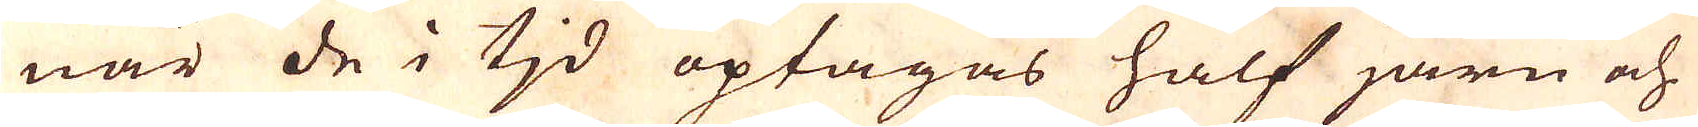när de i tjd optagas half järn och
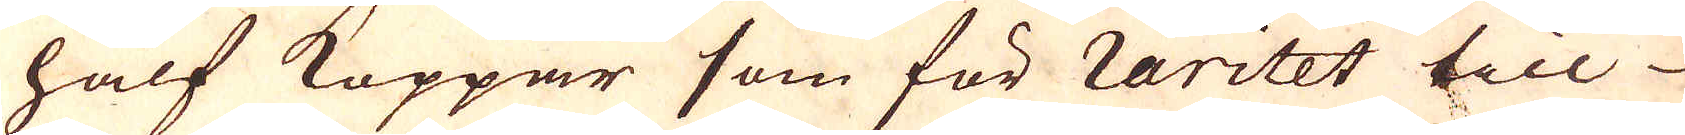half Koppar som för raritet till
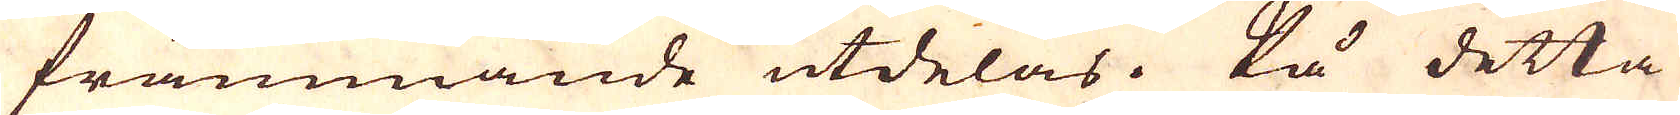främmande utdelas. På detta
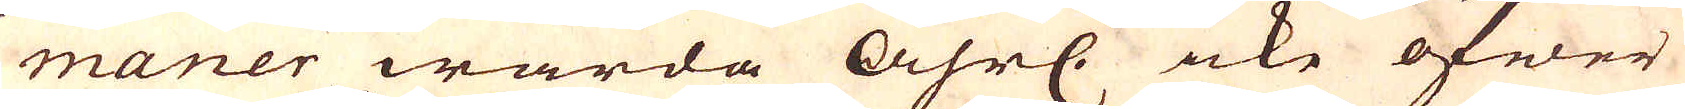maner warda åhrl. icke öfwer
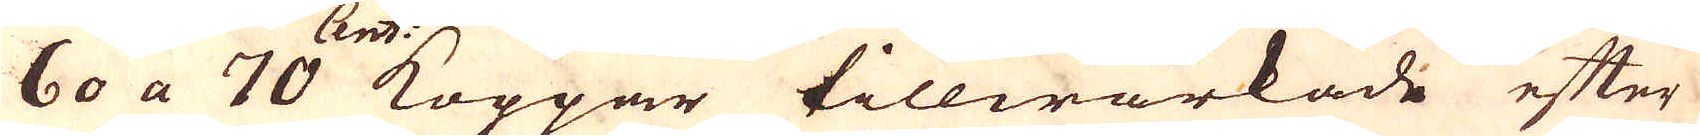60 a 70 Cent. Koppar tillwärkade efter
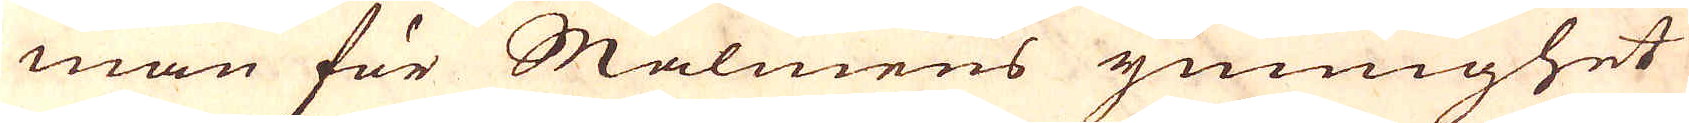man för Malmens ymnighet
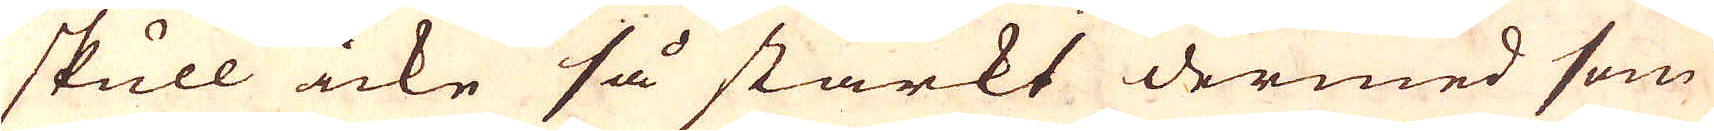skull icke så starkt dermed som
